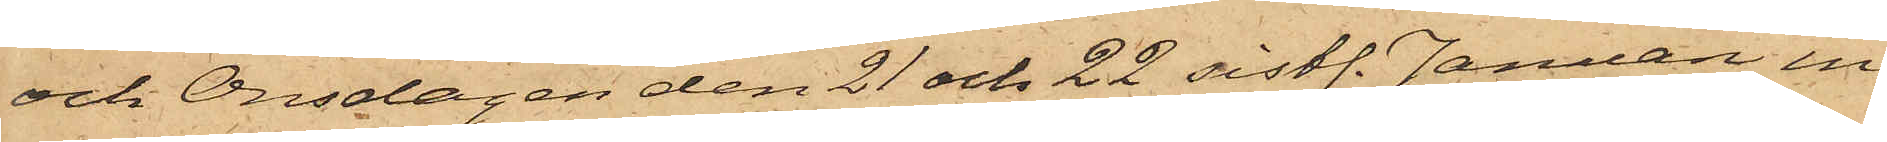och Onsdagen den 21 och 22 sistl. Januari in¬
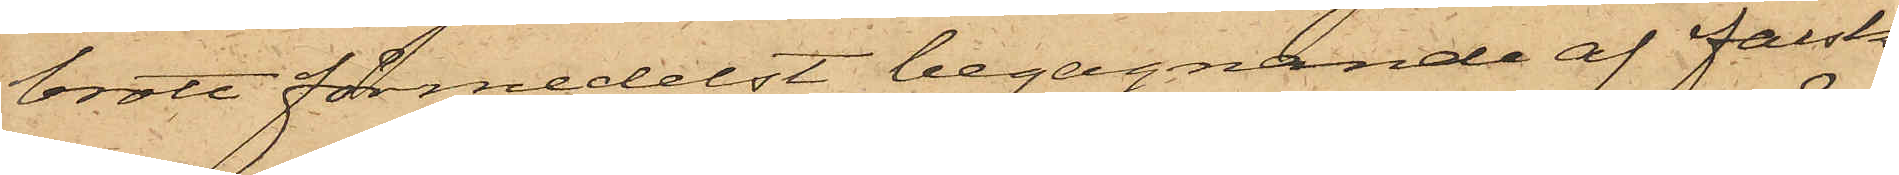brott förmedelst begagnande af falsk
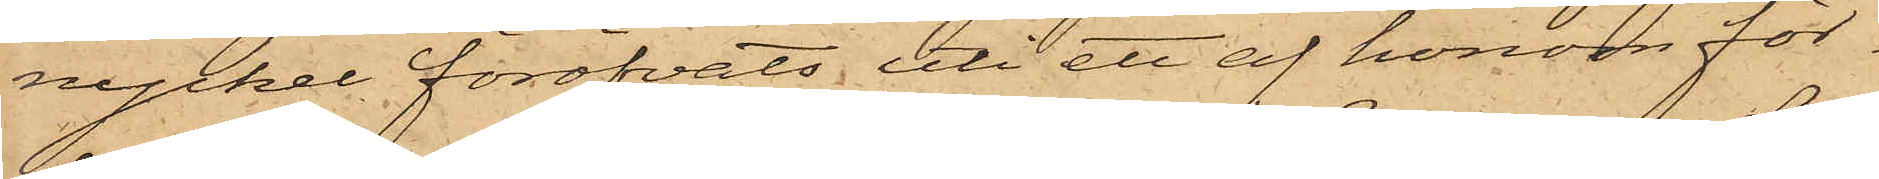nyckel föröfvats uti ett af honom för¬
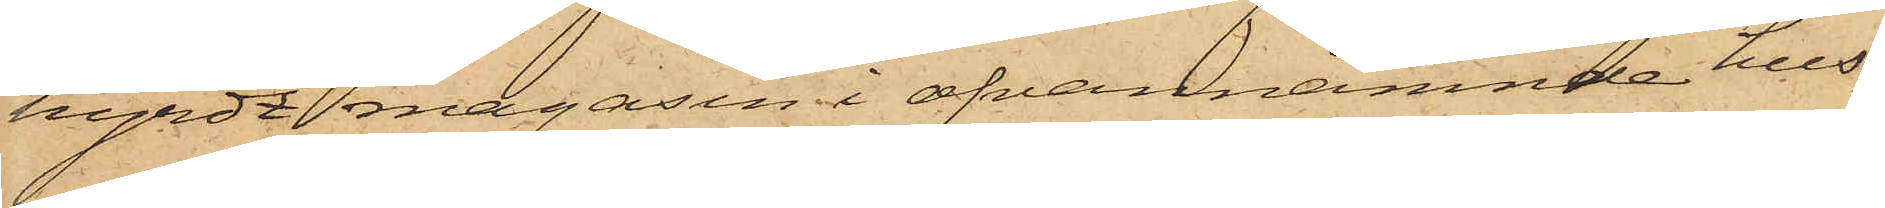hyrdt magasin i ofvannämnde hus,
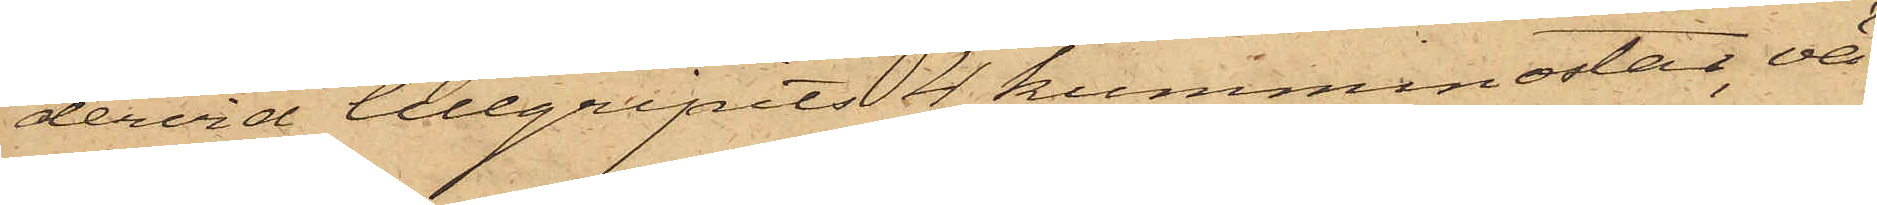dervid tillgripits 4 kumminostar, vä¬
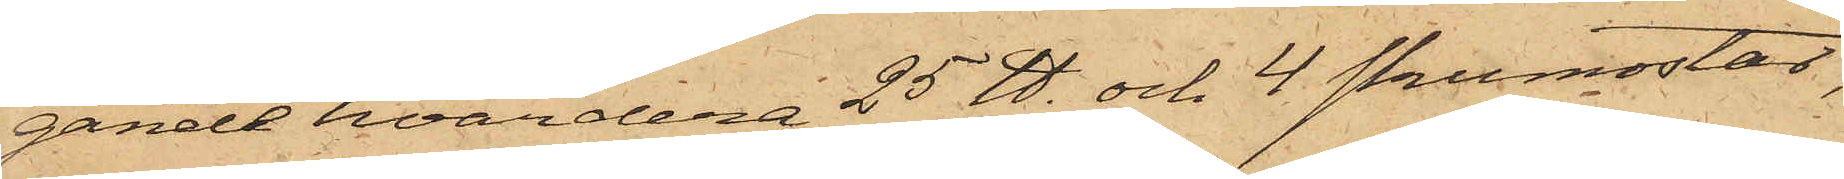gande hvardera 25 ℔. och 4 skumostar,
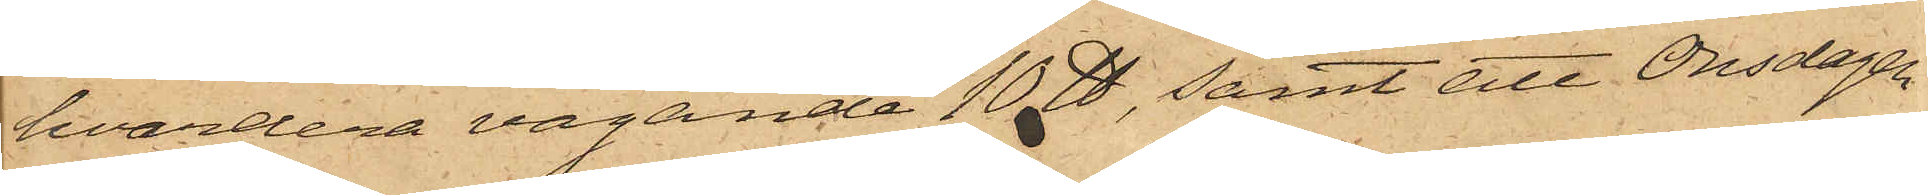hvardera vägande 10 ℔, samt att Onsdagen
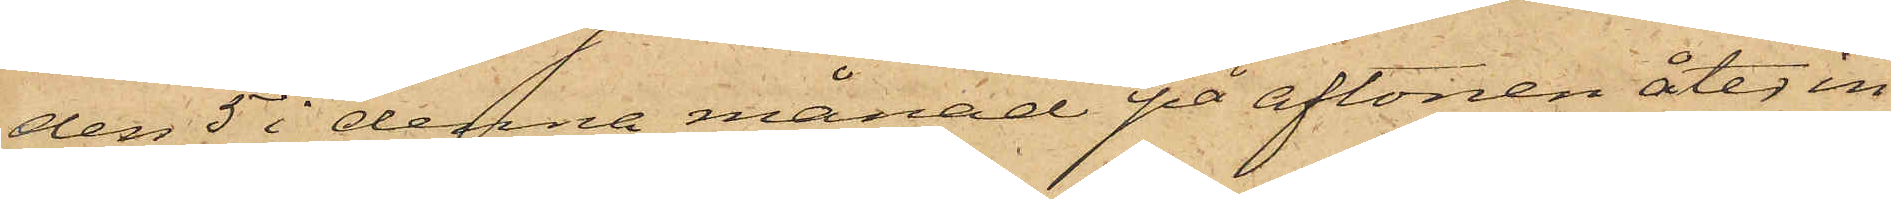den 5 i denna månad på aftonen åter in¬
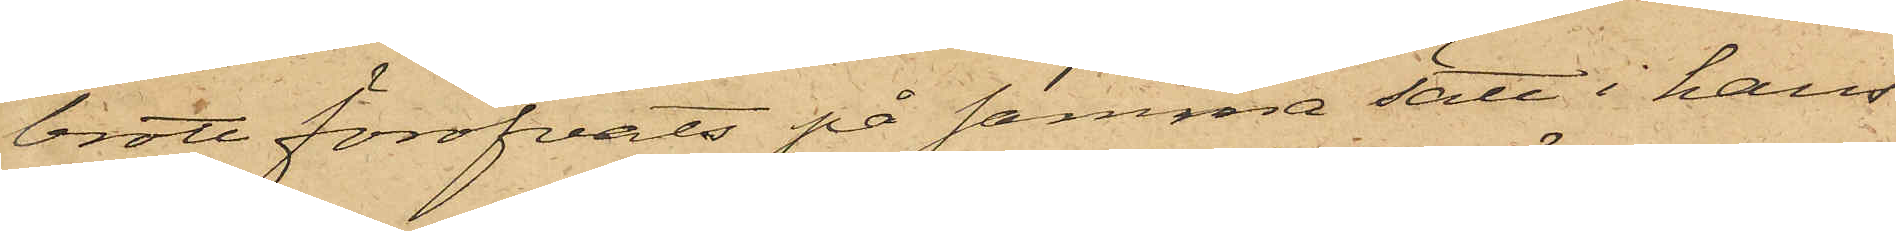brott föröfvats på samma sätt i hans
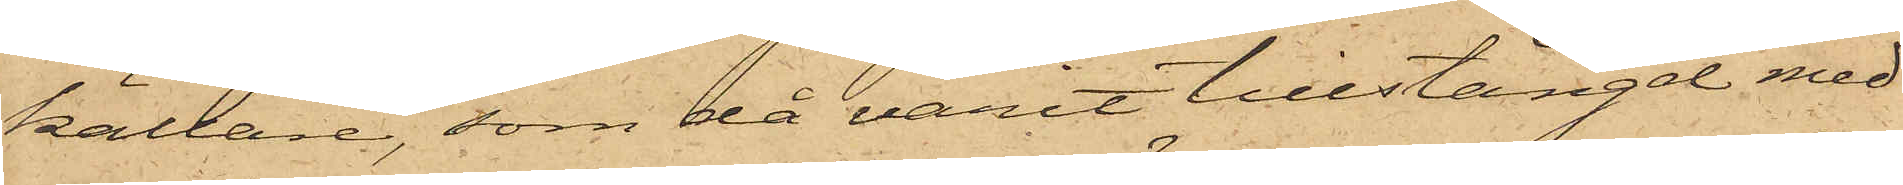källare, som då varit tillstängd med
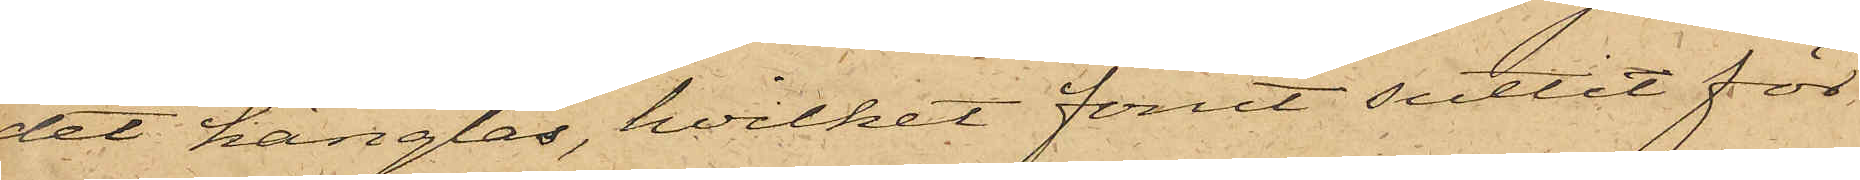det hänglås, hvilket förut suttit för
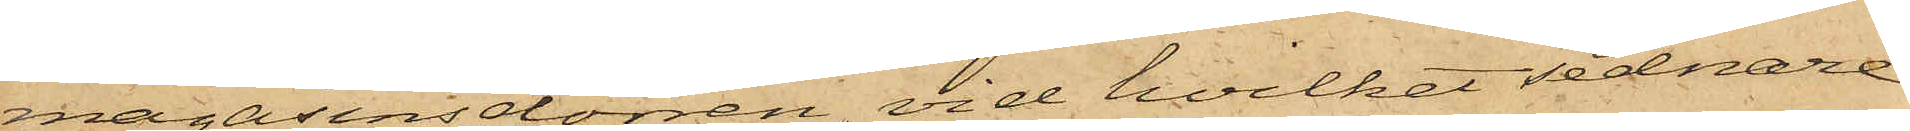magasinsdörren, vid hvilket sednare
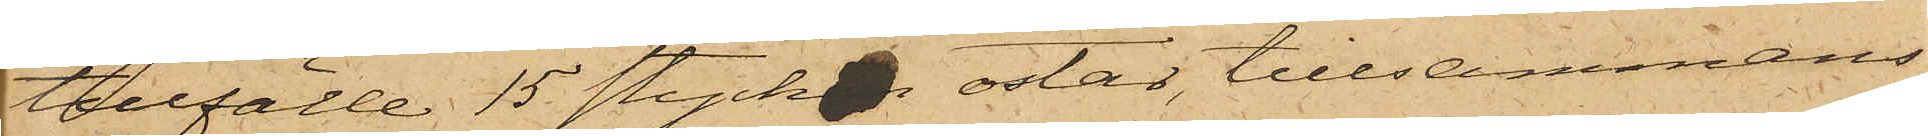tillfälle 15 stycken ostar, tillsammans
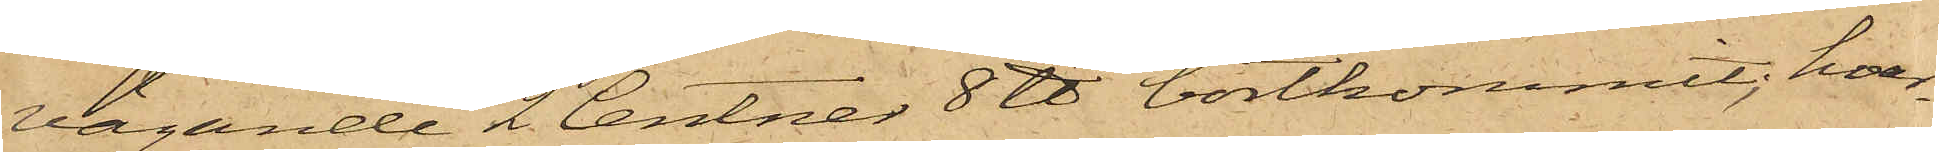vägande 2 Centner 8 ℔ bortkommit; hvar¬
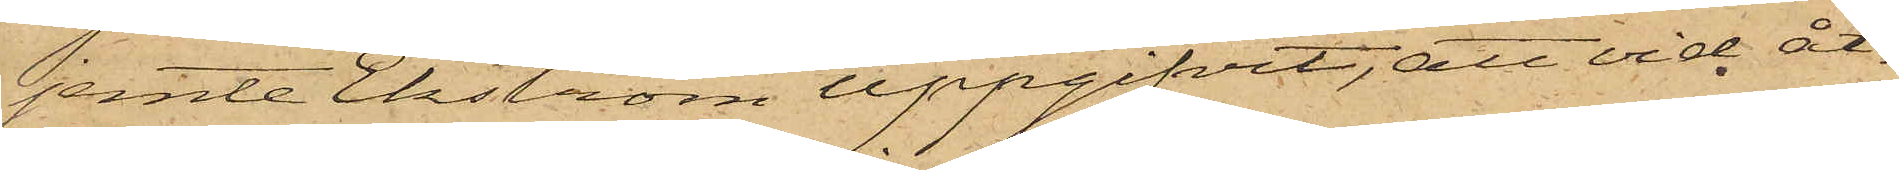jemte Ekström uppgifvit, att vid åt¬
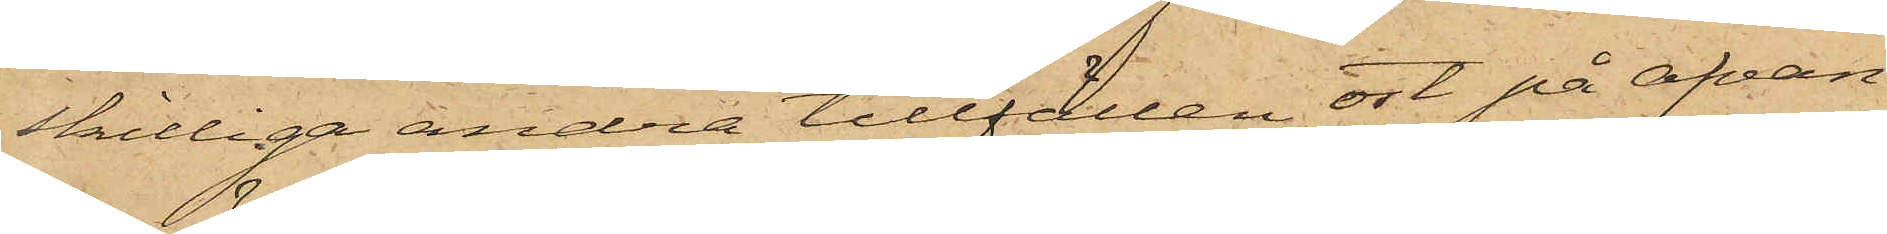skilliga andra tillfällen ost på ofvan¬
